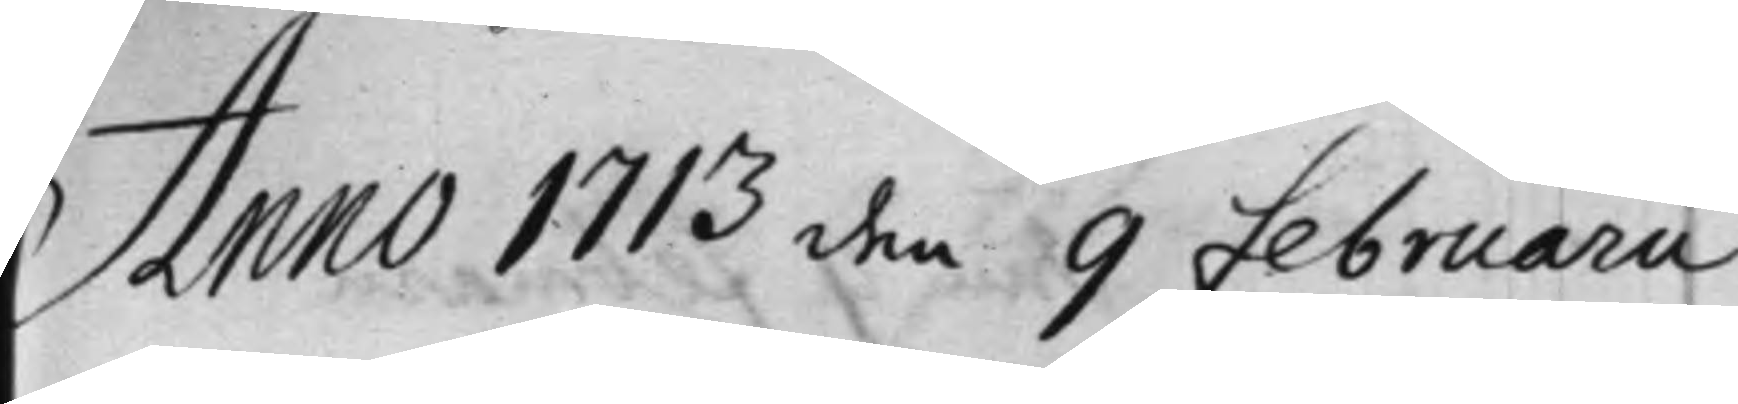Anno 1713 den 9 Februarii,
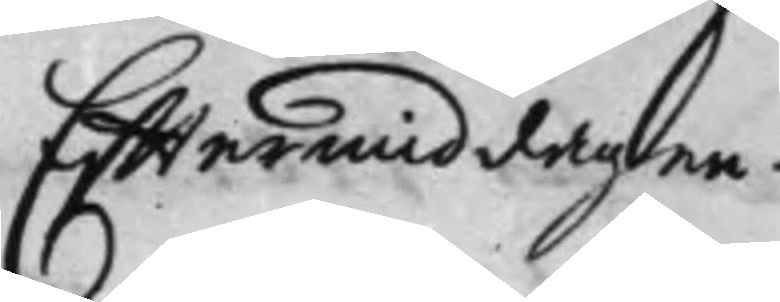Efftermiddagen.
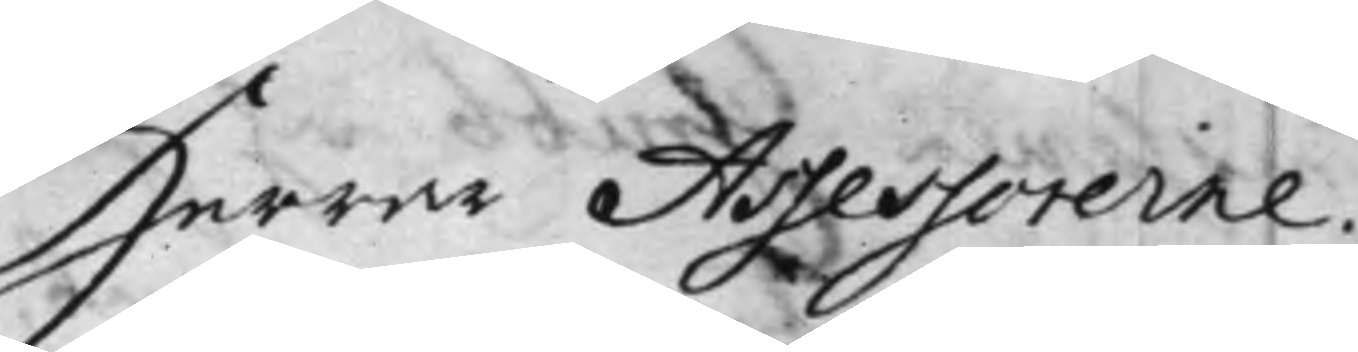Herrar Assessorerne.
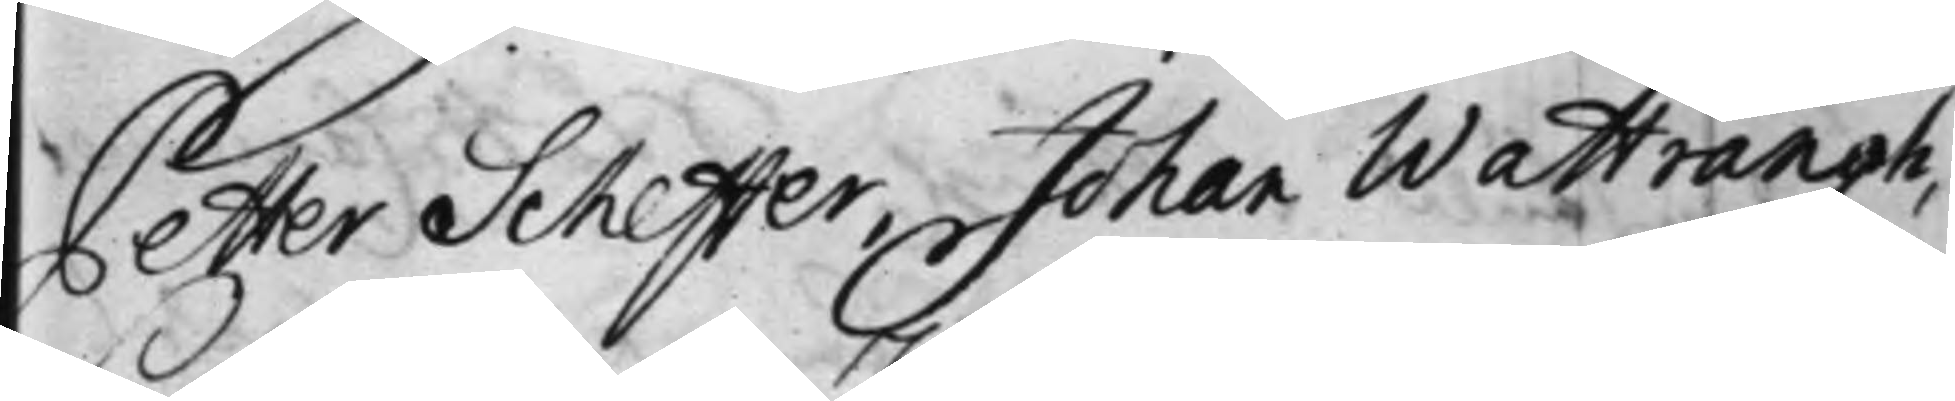Petter Scheffer, Johan Wattrangh,
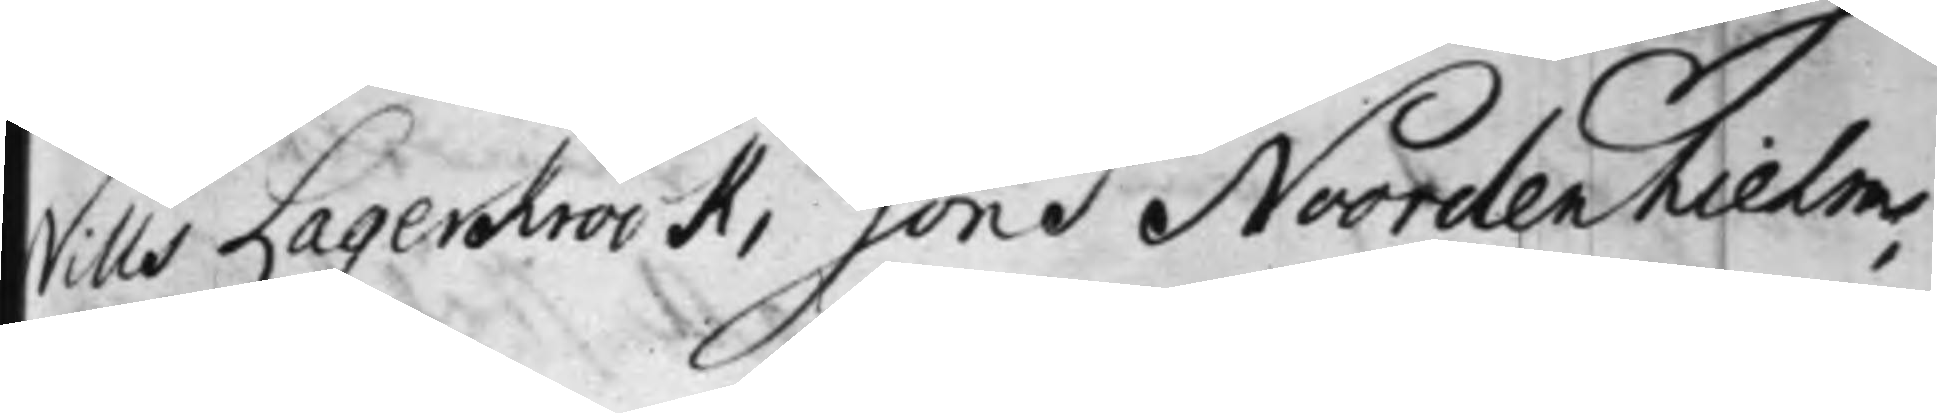Nills Lagerkrook, Jöns Noordenhielm,
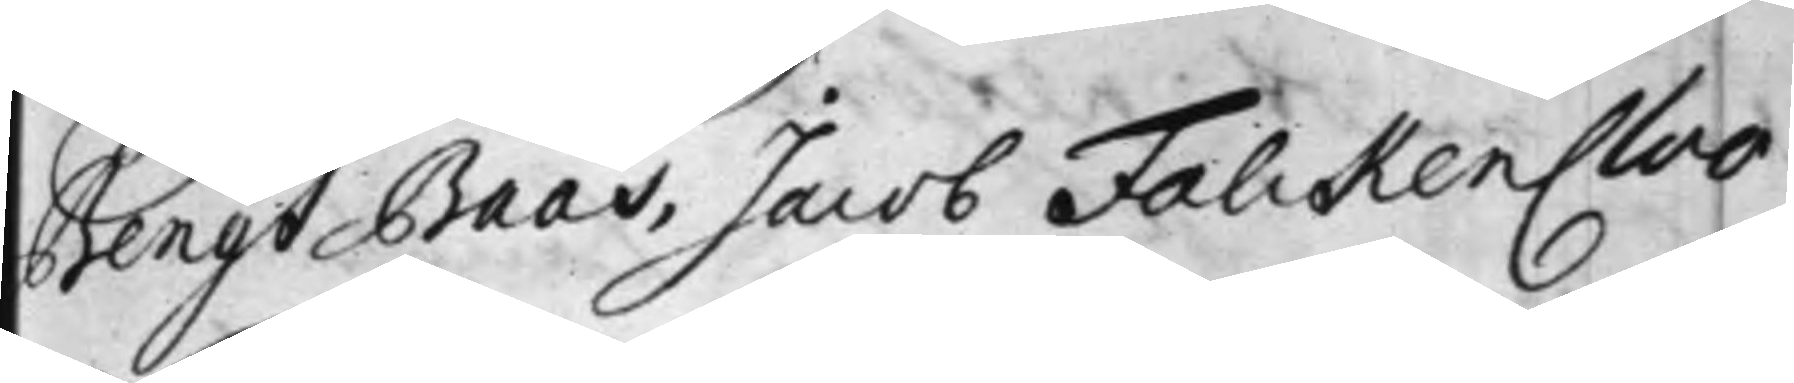Bengt Baas, Jacob Falckencloo.
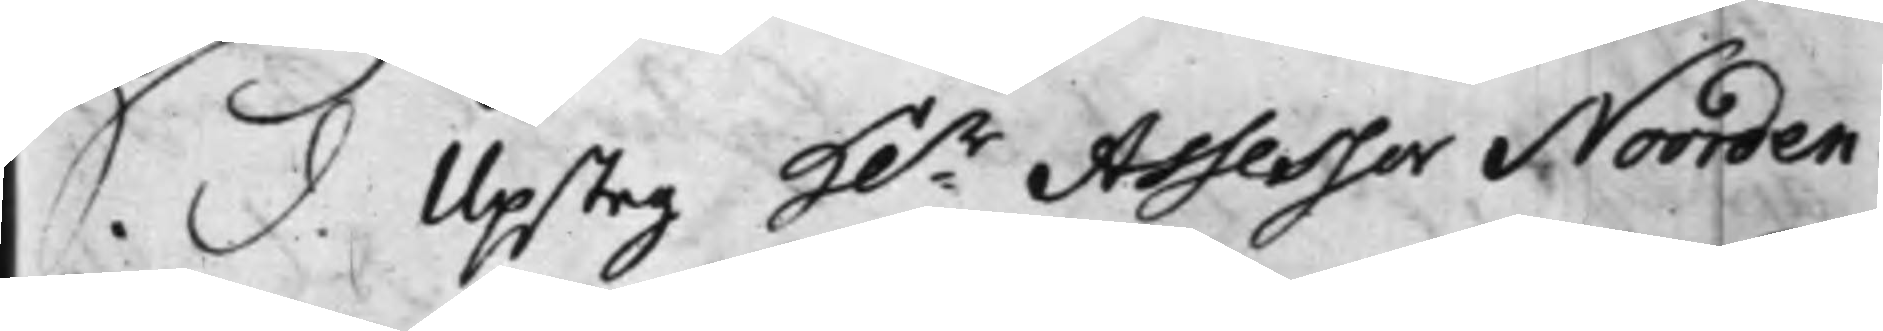S. d. Upsteg H:r Assessor Noorden¬
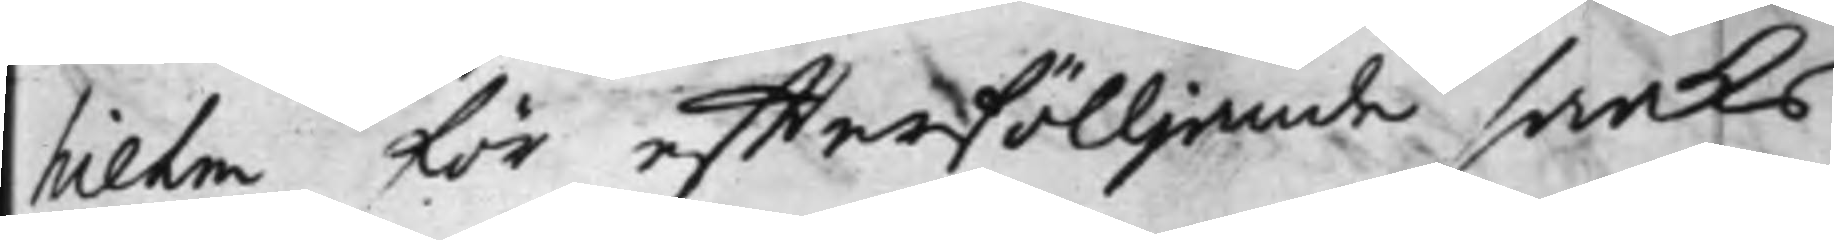hielm för effterfölljande saaks
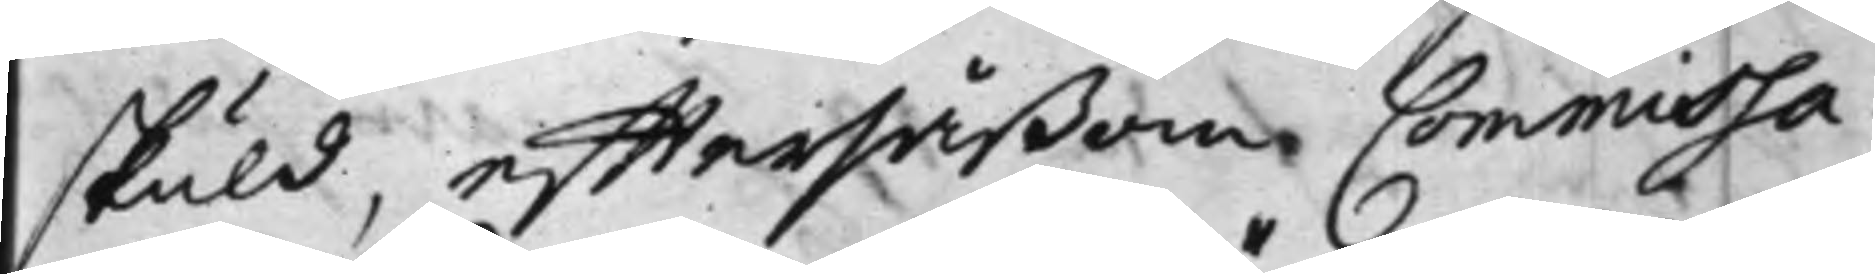skuld, efftersåßom Commissa¬
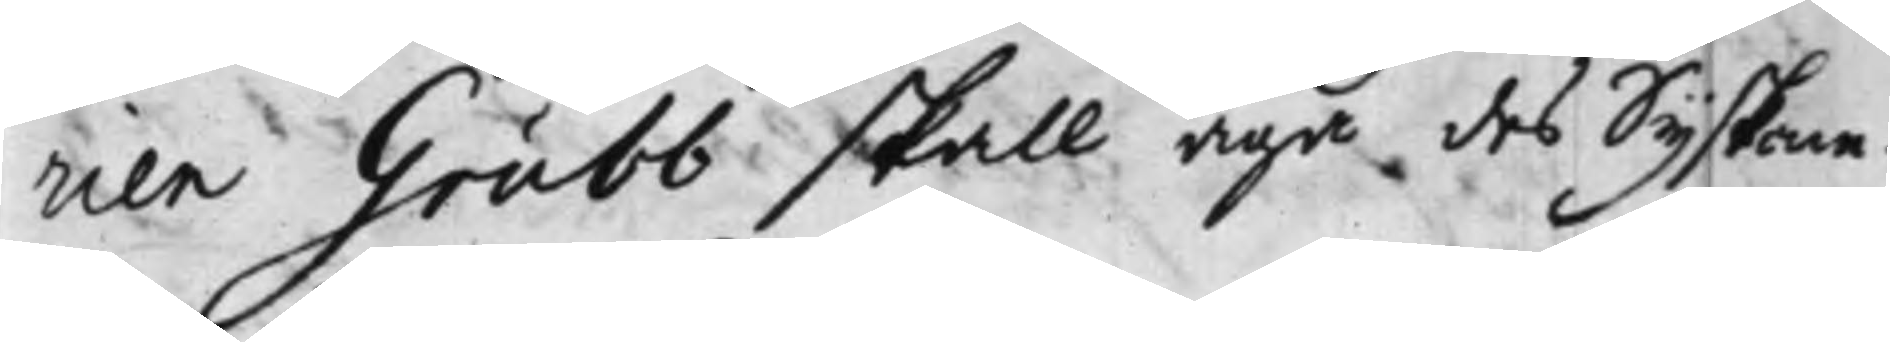rien Grubb skall äga des Syskone¬
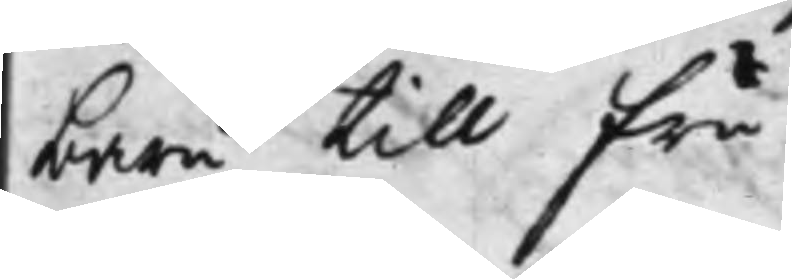barn till Fru.
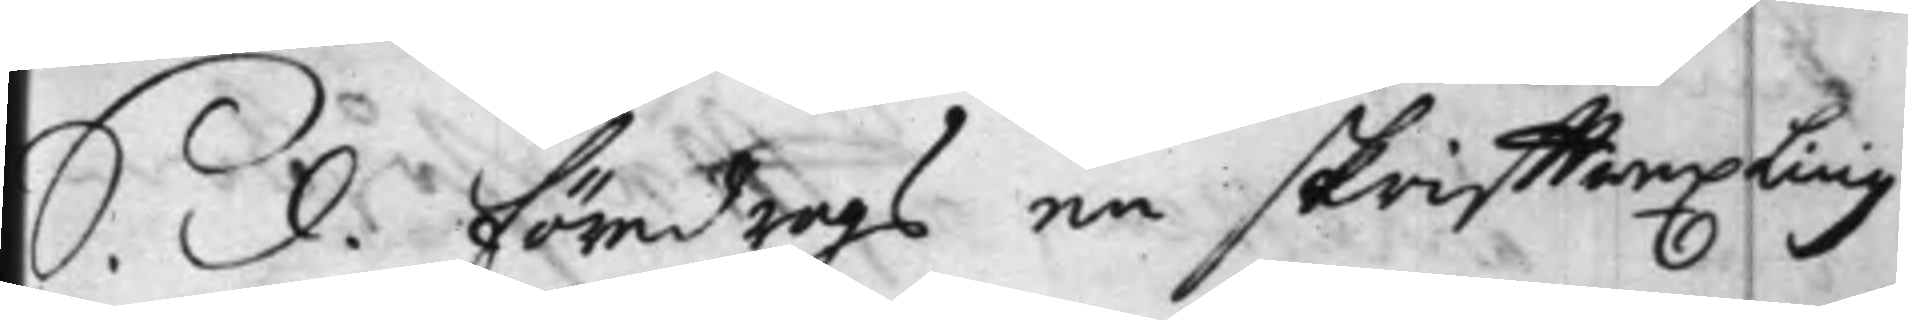S. d. föredrogs en skrifftwexling
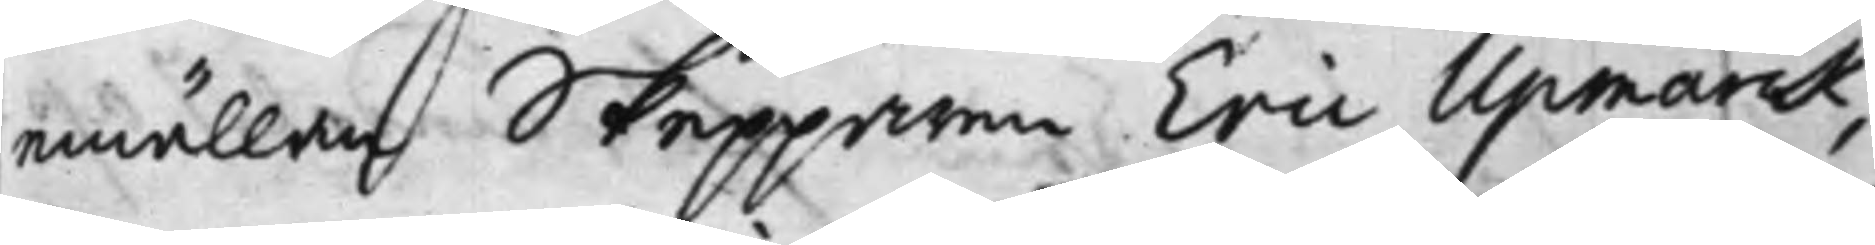emällan Skepparen Eric Upmarck,
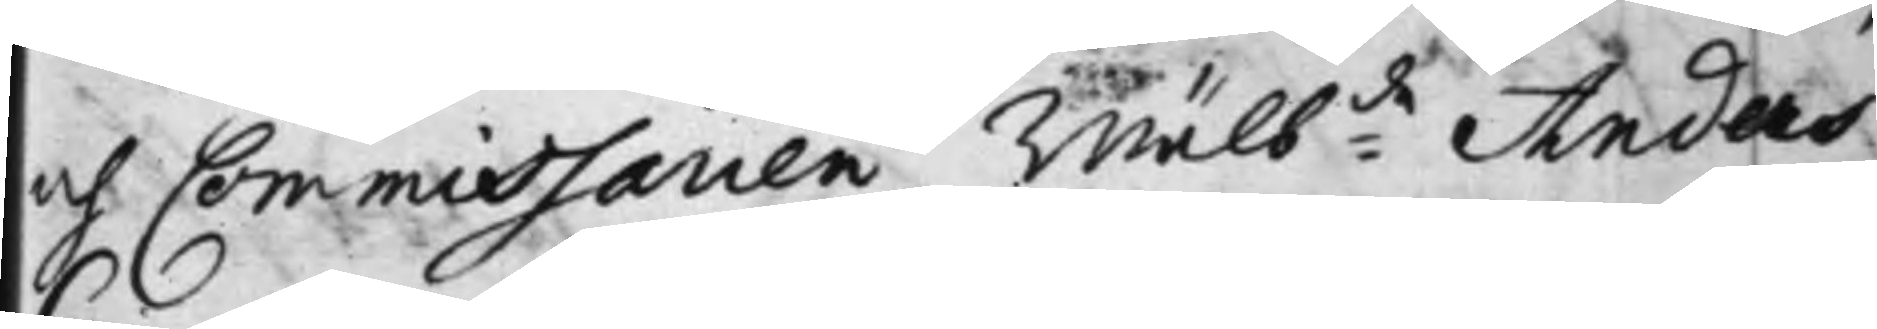och Commissarien Wälb:de Anders
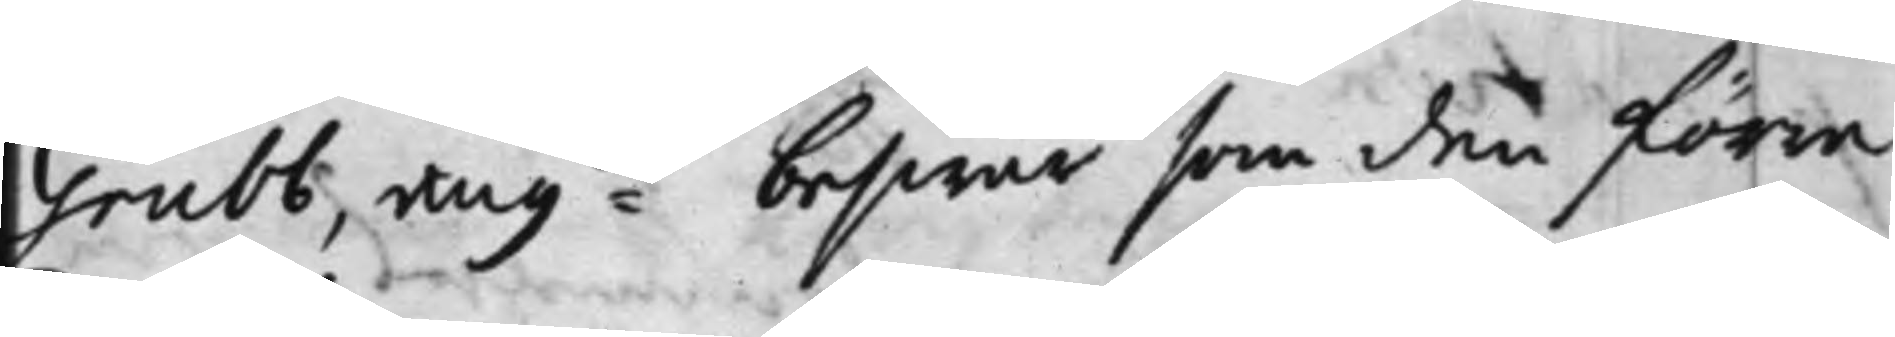Grubb, ang:de beswär som den förre
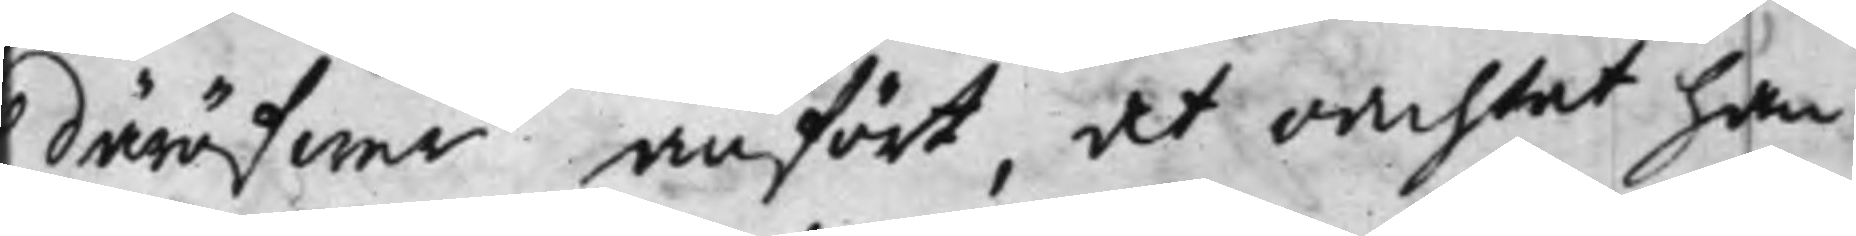däröfwer anfört, det oachtat han
